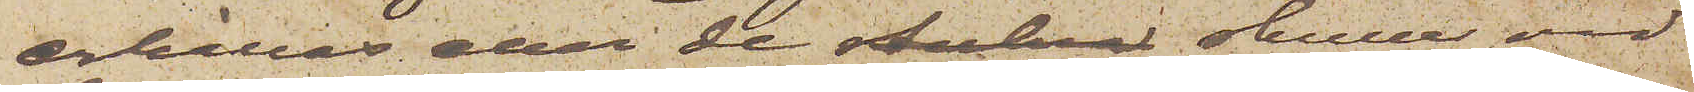erhållas eller de stulna skulle vid
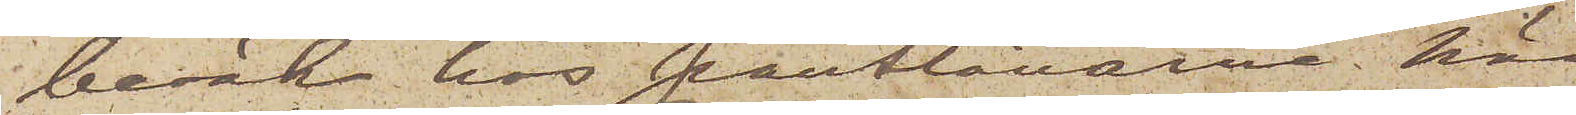besök hos pantlånarne här
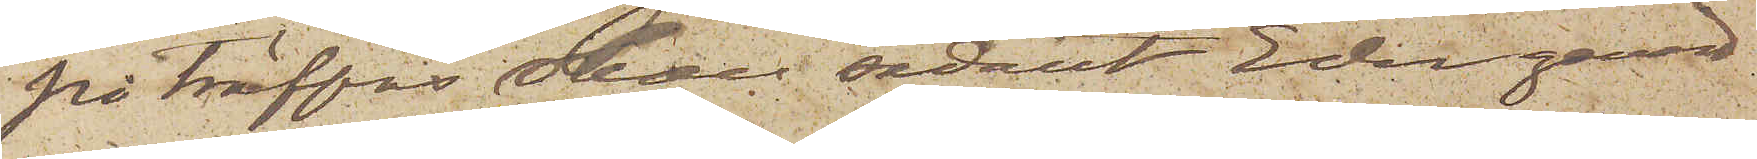påträffas skall sadant Eder genast
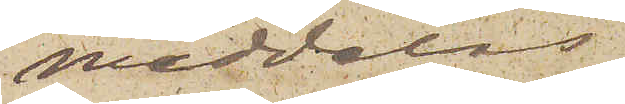meddelas
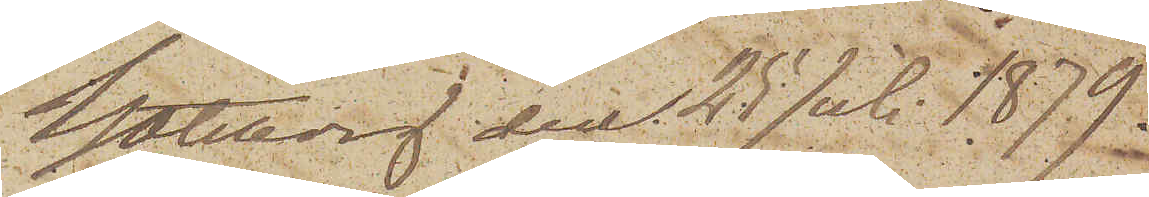Göteborg den 25 Juli 1879.
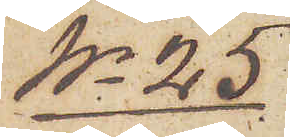No 25
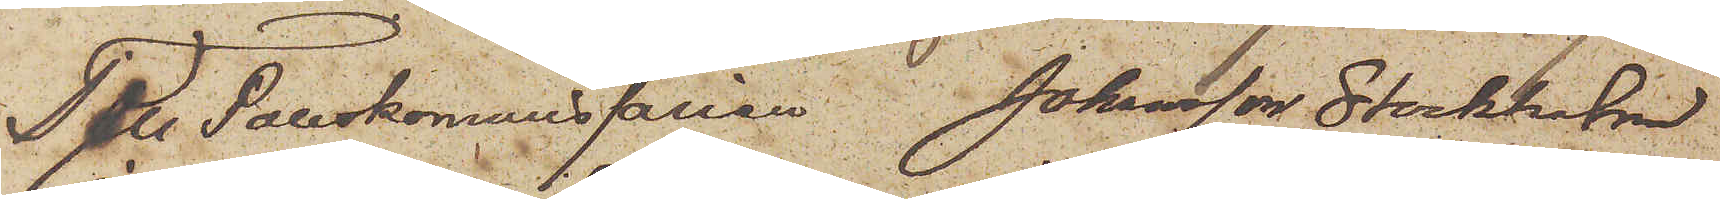Till Poliskommissarien Johansson Stockholm
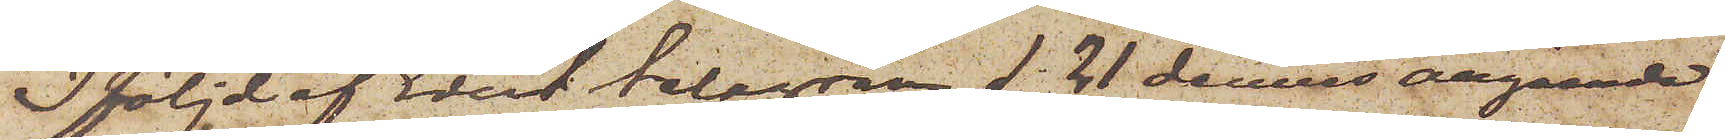I följd af Edert telegram d. 21 dennes angående
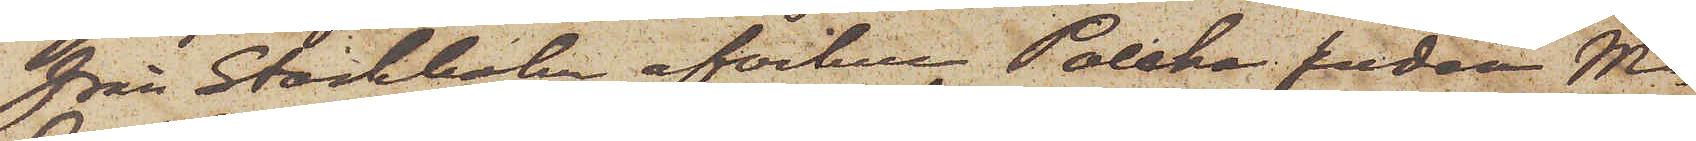från Stockholm afvikne Polska smeden M.
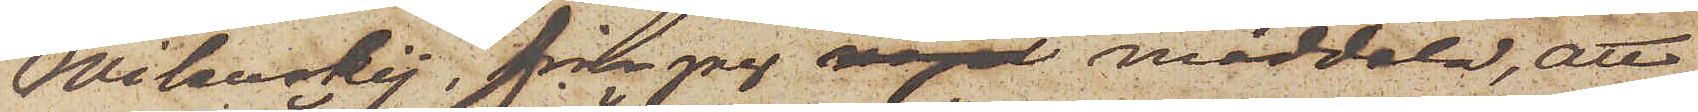Wilanskij, får jag något meddela, att
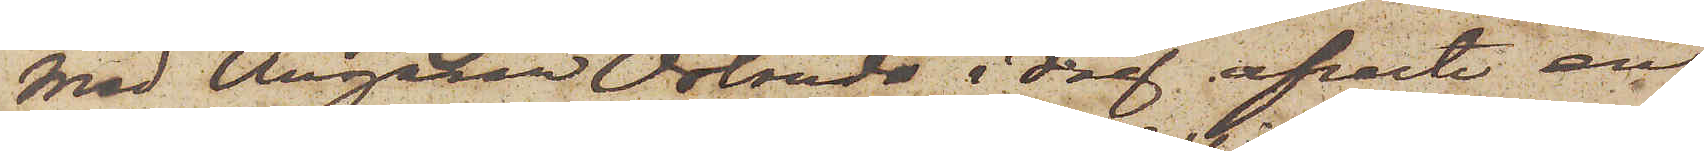med Ångaren "Orlando" i dag afreste en
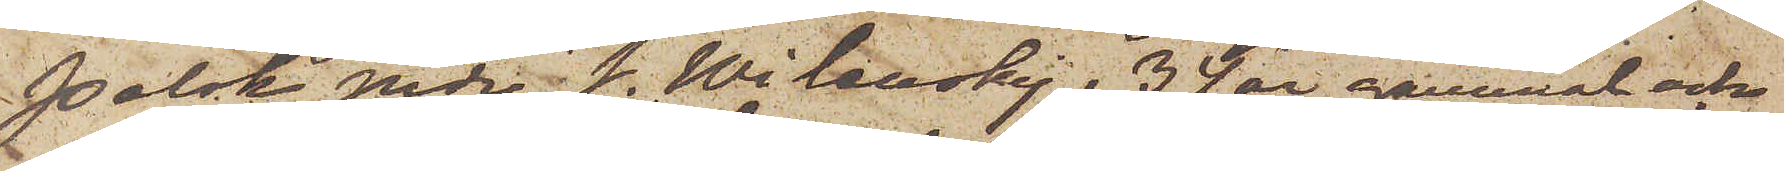Polsk jude J. Wilanskij, 34 år gammal och
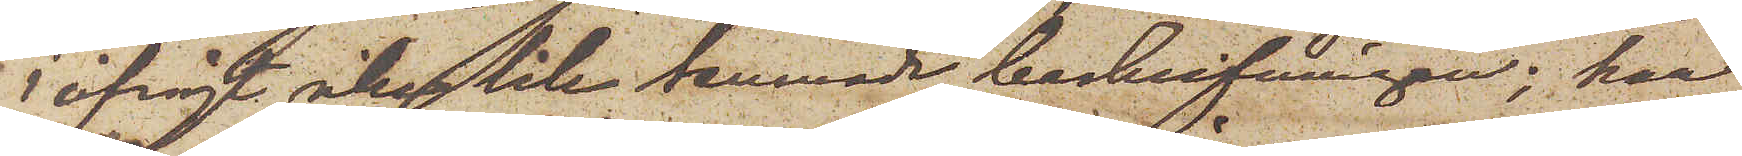i öfrigt icke lik lemnade beskrifningen; han
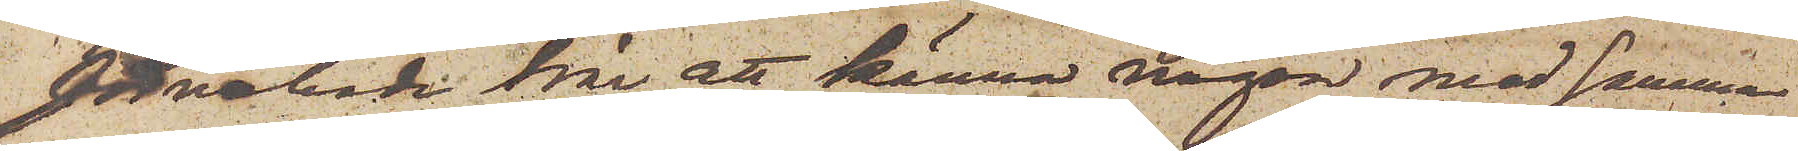förnekade här att känna någon med samma
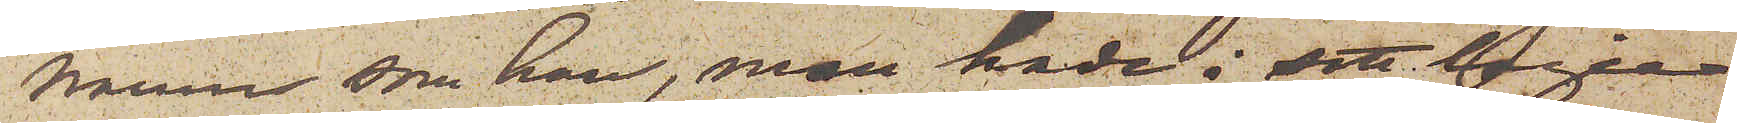namn som han, men hade i sitt logie
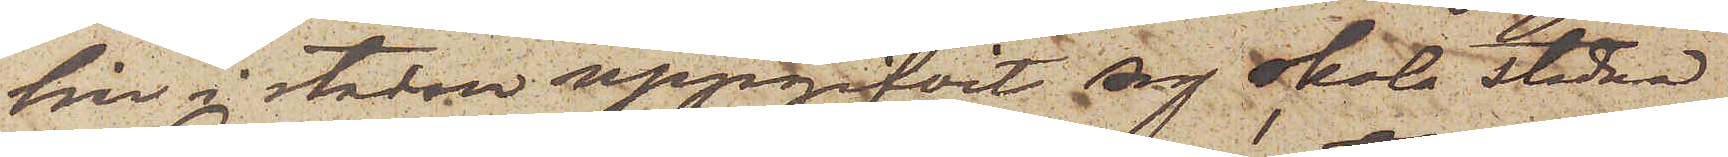här i staden uppgifvit sig skola stadna
